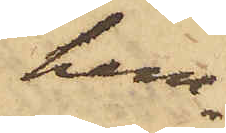hem¬
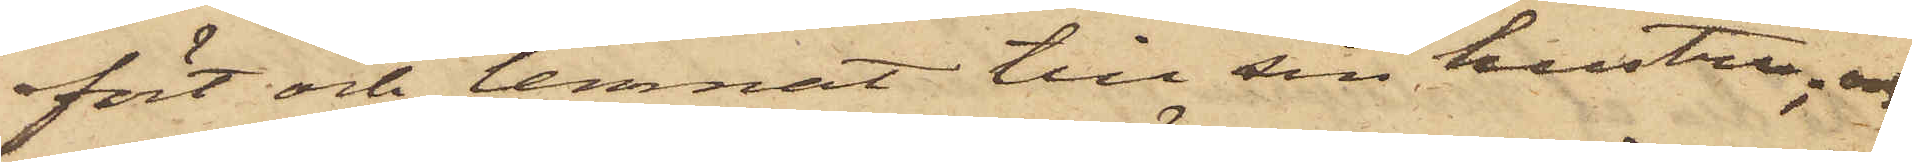fört och lemnat till sin hustru, och
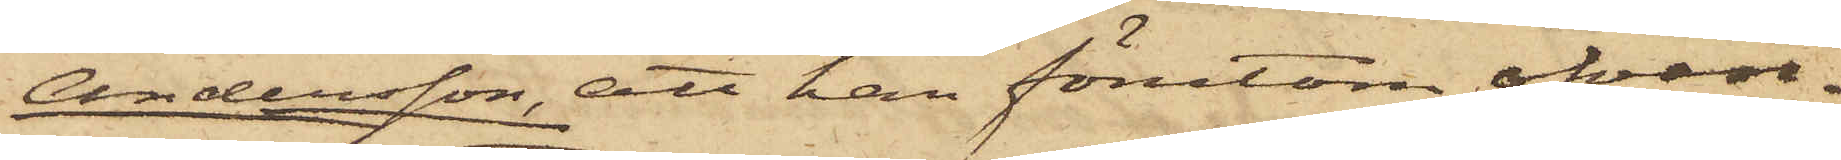Andersson, att han förutom ofvan¬
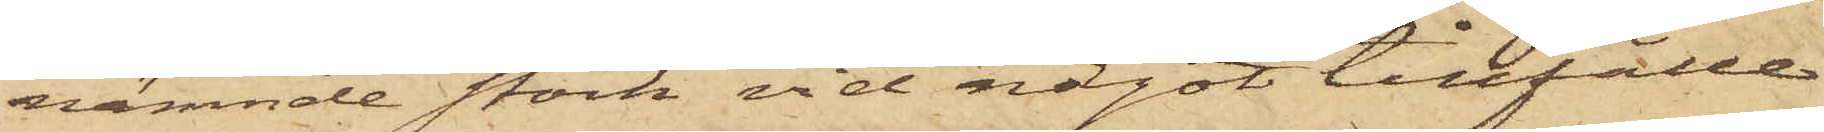nämnde stock vid något tillfälle
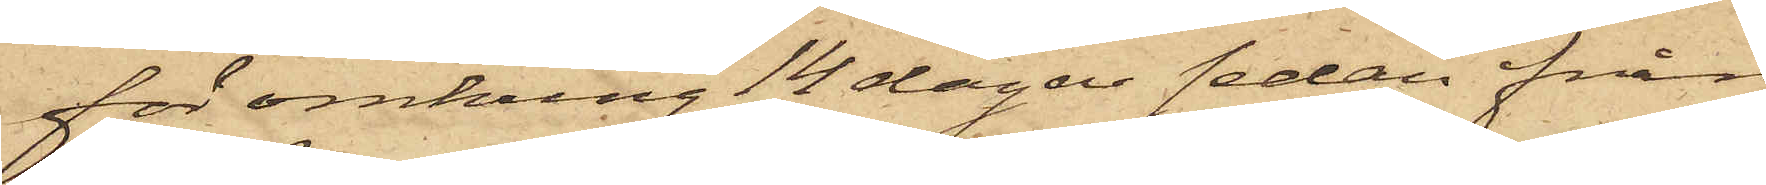för omkring 14 dagar sedan från
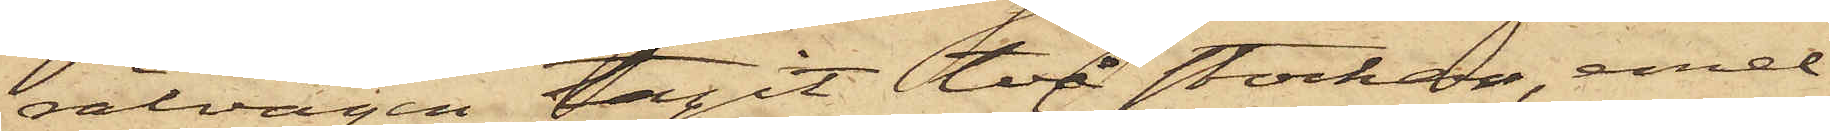rälvägen tagit två stockar, emel¬
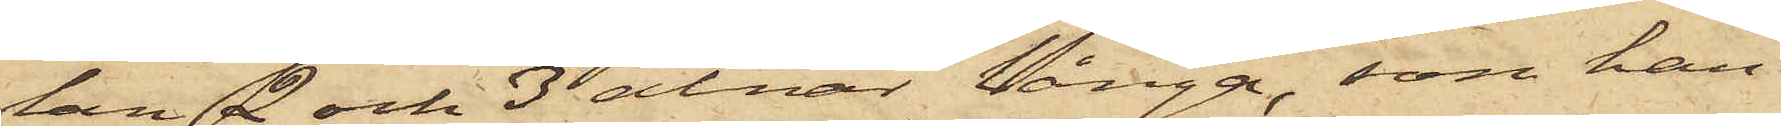lan 2 och 3 alnar långa, som han
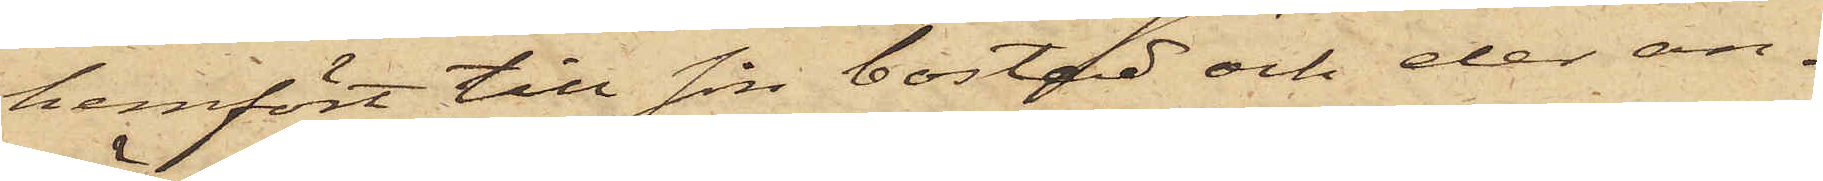hemfört till sin bostad och der an¬
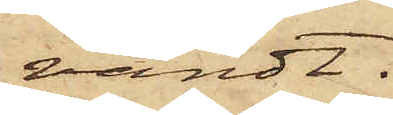vändt.
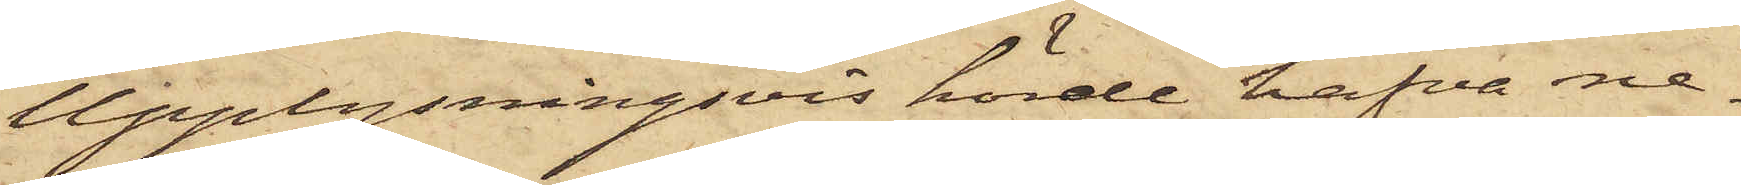Upplysningsvis hörde hafva ne¬
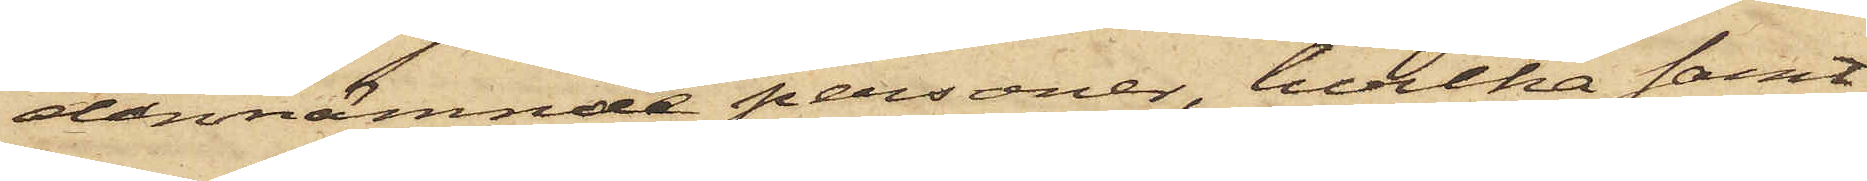dannämnde personer, hvilka samt¬
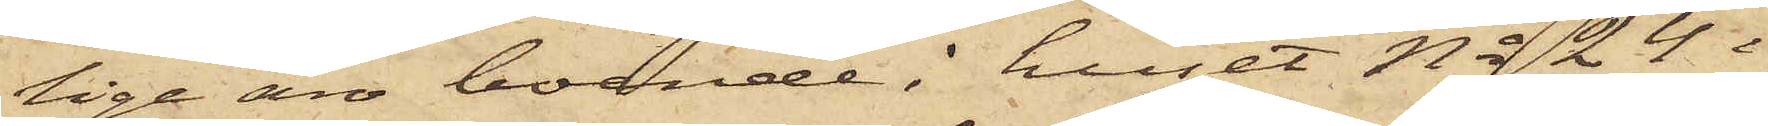lige äro boende i huset No 24 i
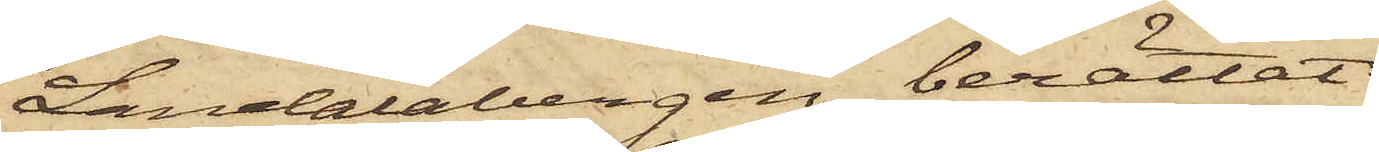Landalabergen berättat:
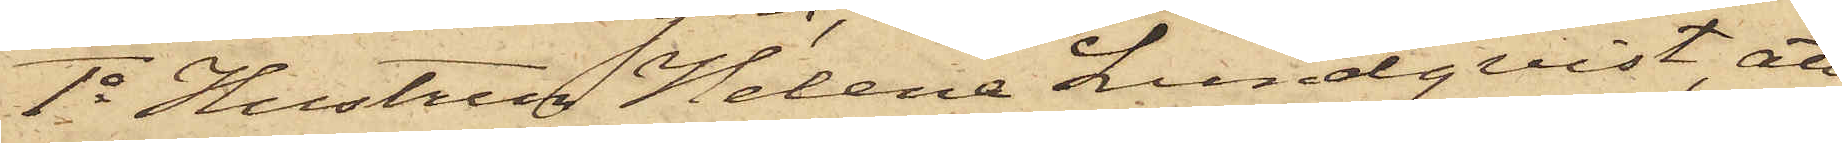1o Hustru Helena Lundqvist, att
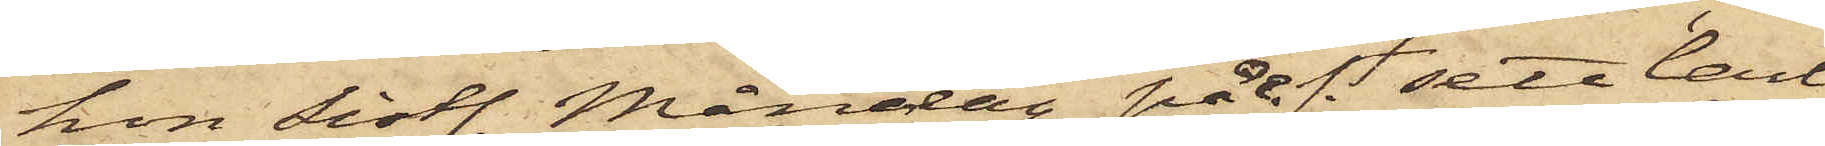hon sistl. Måndag på e.f. sett Carl
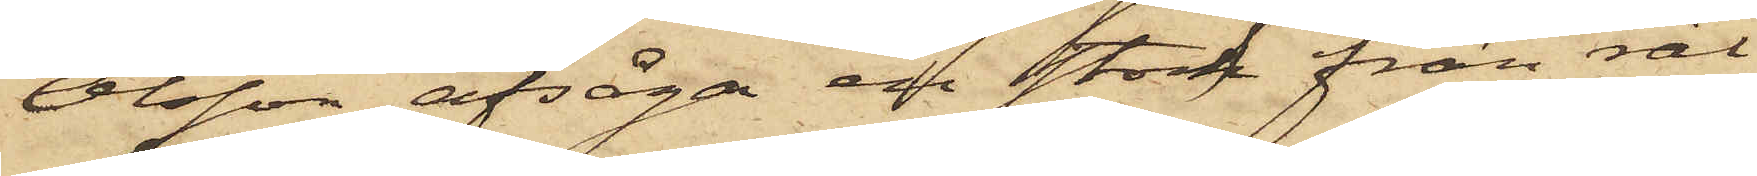Olsson afsåga en stock från räl¬
